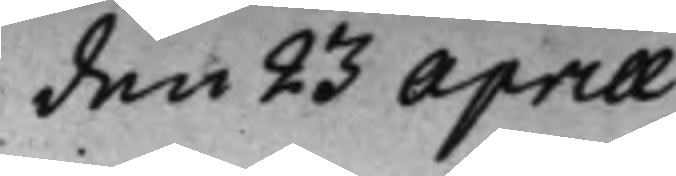den 23 Aprill
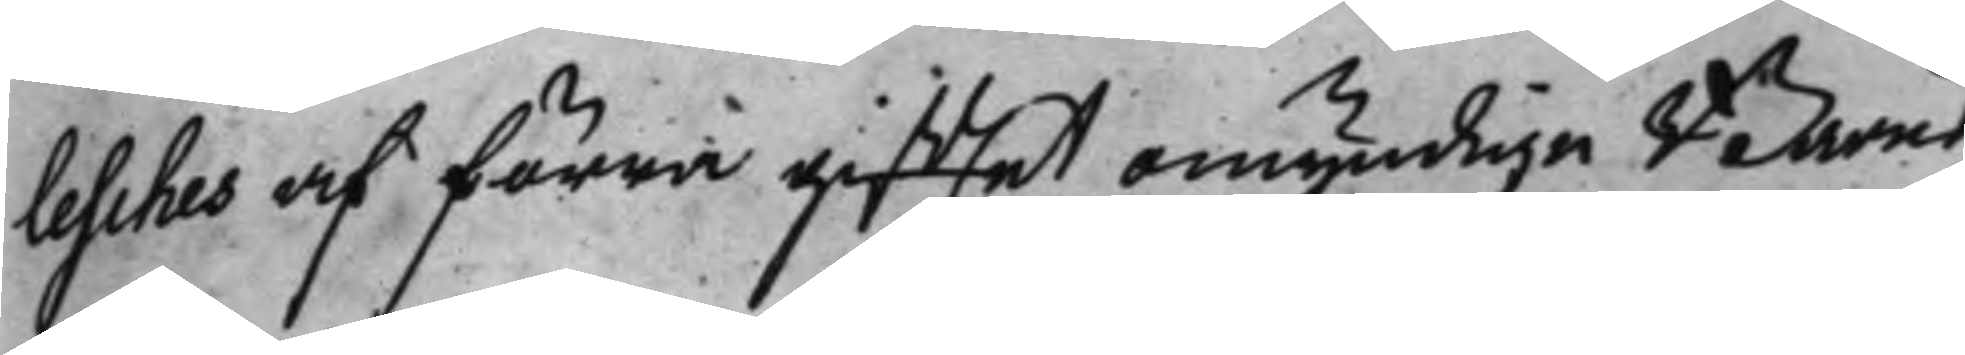lesches af förra giftet omyndige Barns
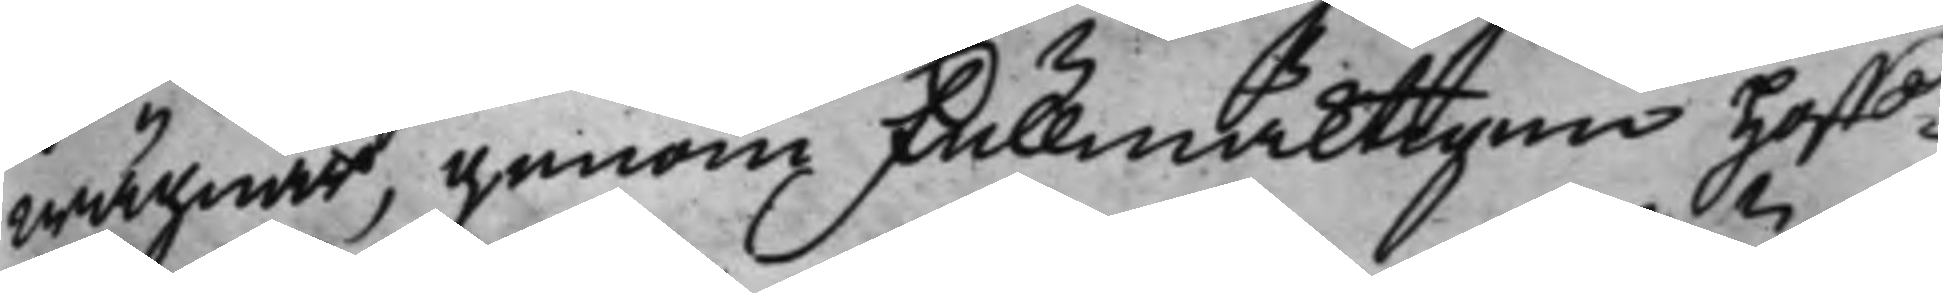wägnar, genom Fullmäcktigen Hoff¬
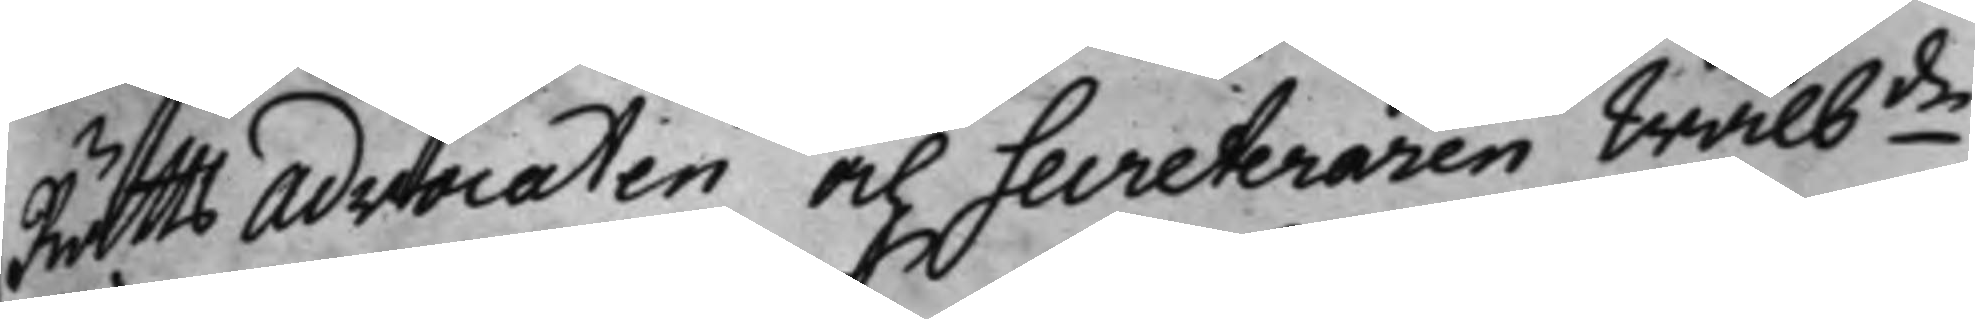Rätts Advocaten och Secreteraren Wälbde 
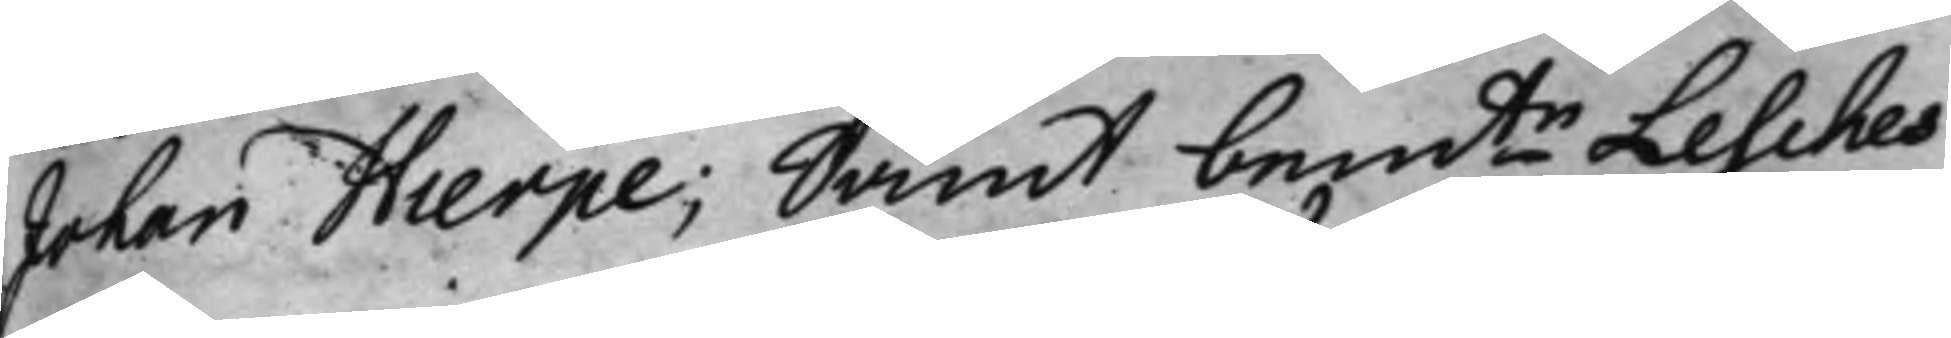Johan Hierpe; Samt bemte Lesches 
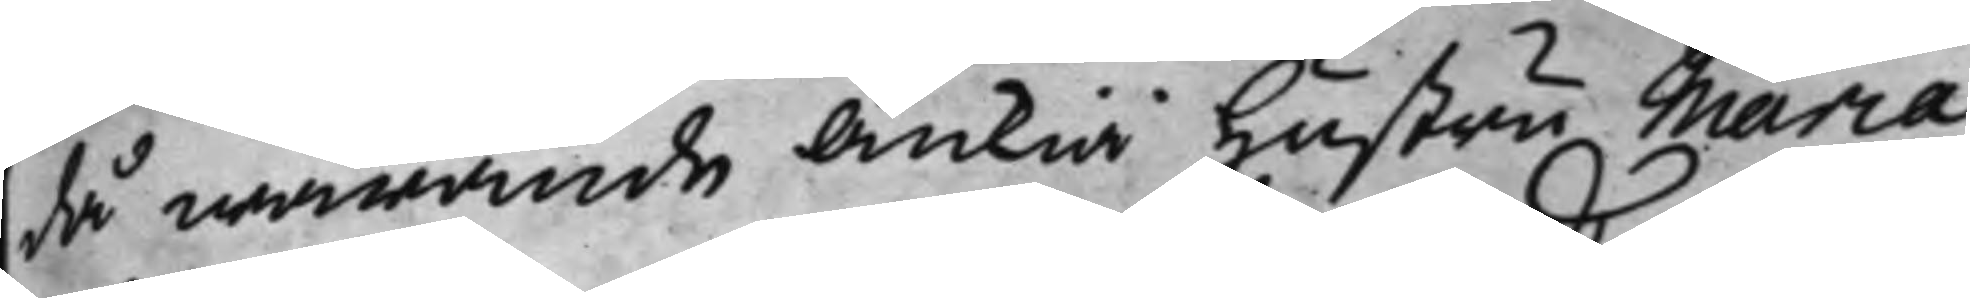då warande Änkia Hustru Maria
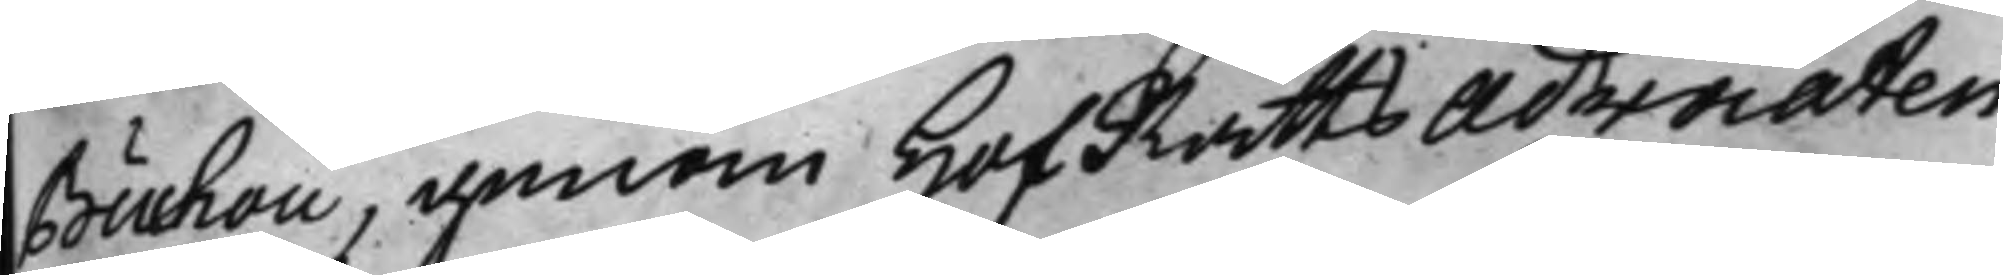Buchou, genom HofRätts Advocaten
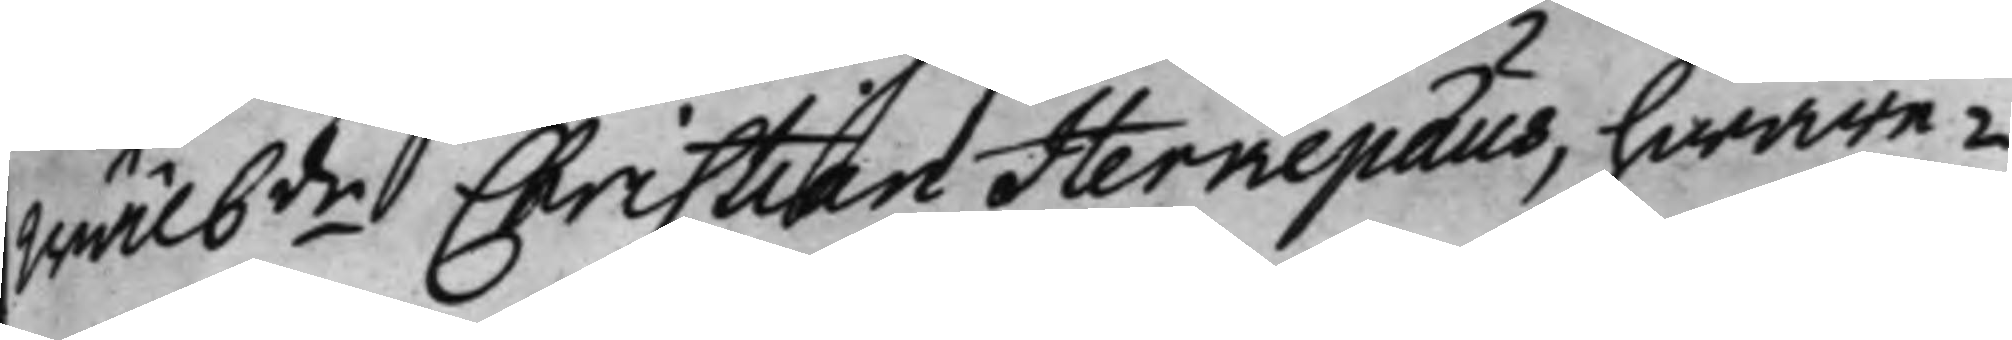Wälbde Christian Herkepæus, hware¬ 
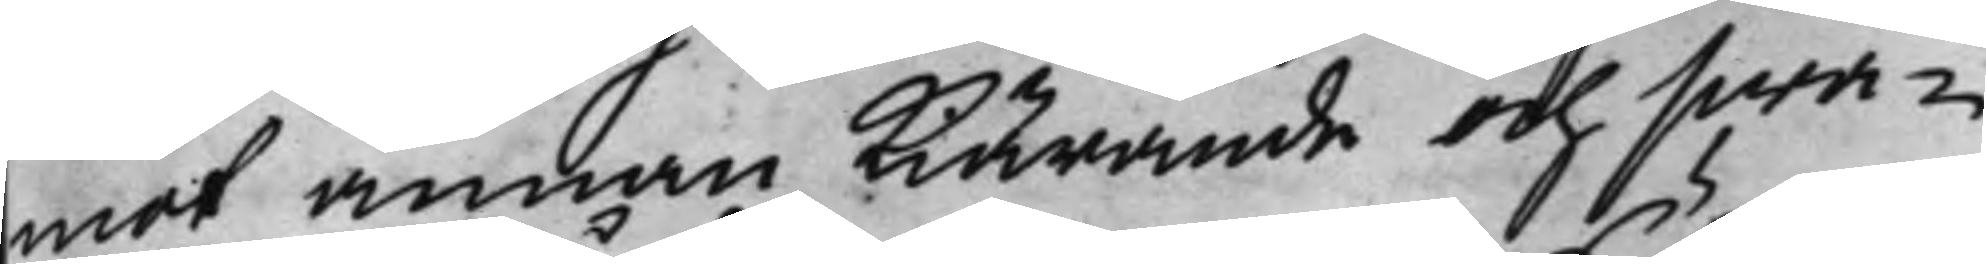mot annan kiärande och swa¬
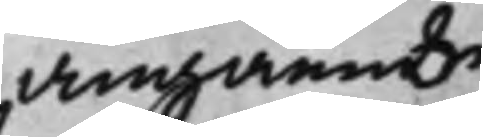angående
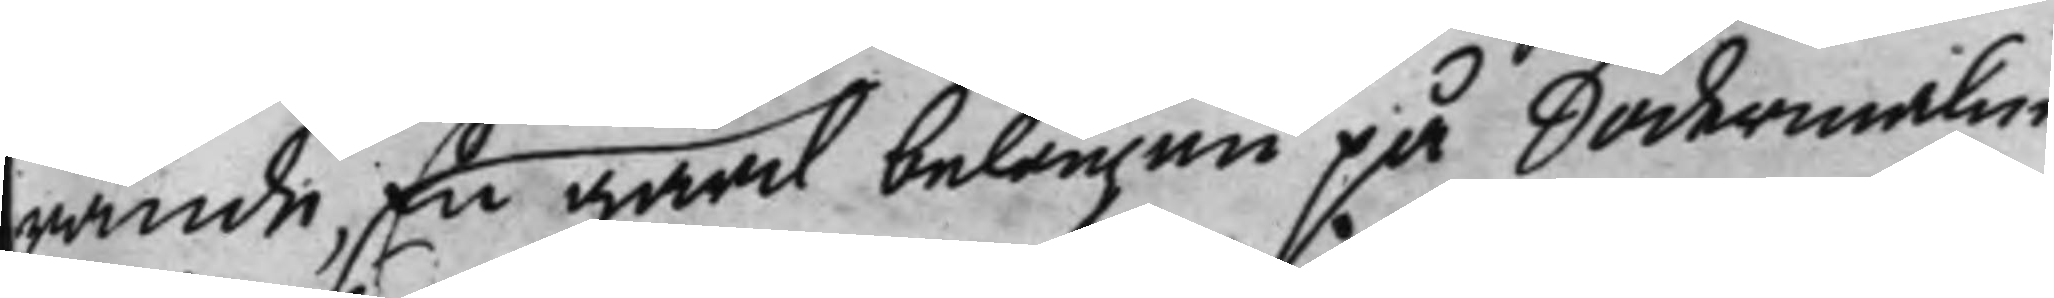rande, En gård belägen på Södermalm
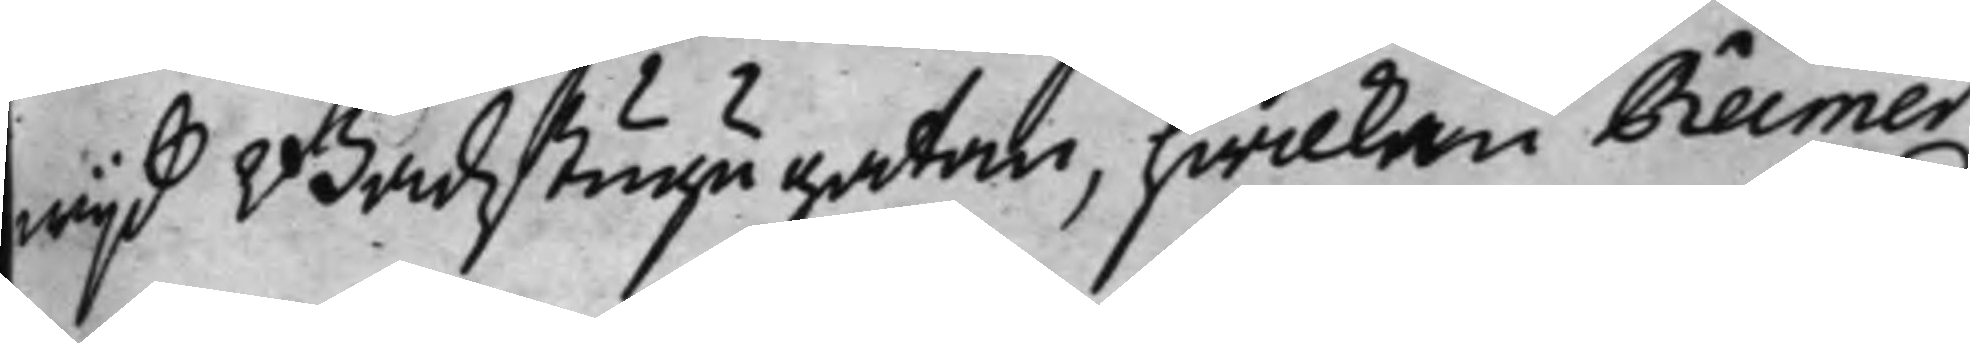wijd Badstugugatan, hwilken Reimer
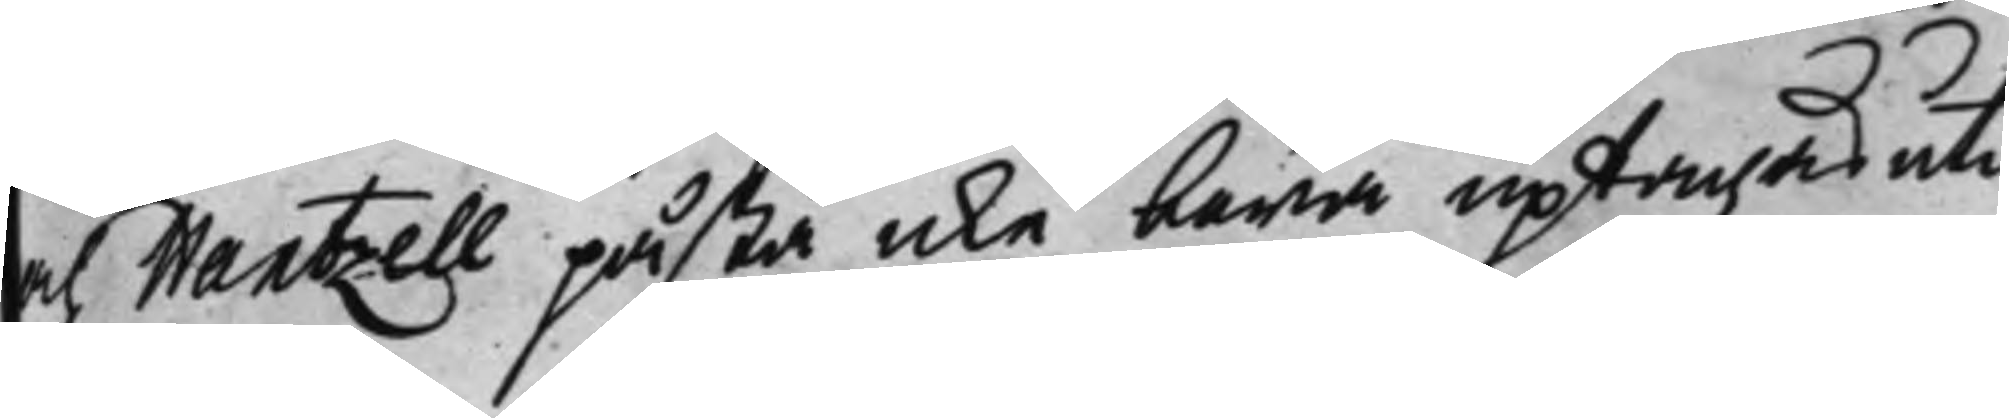och Wantzell påstå icke böra uptagas uti
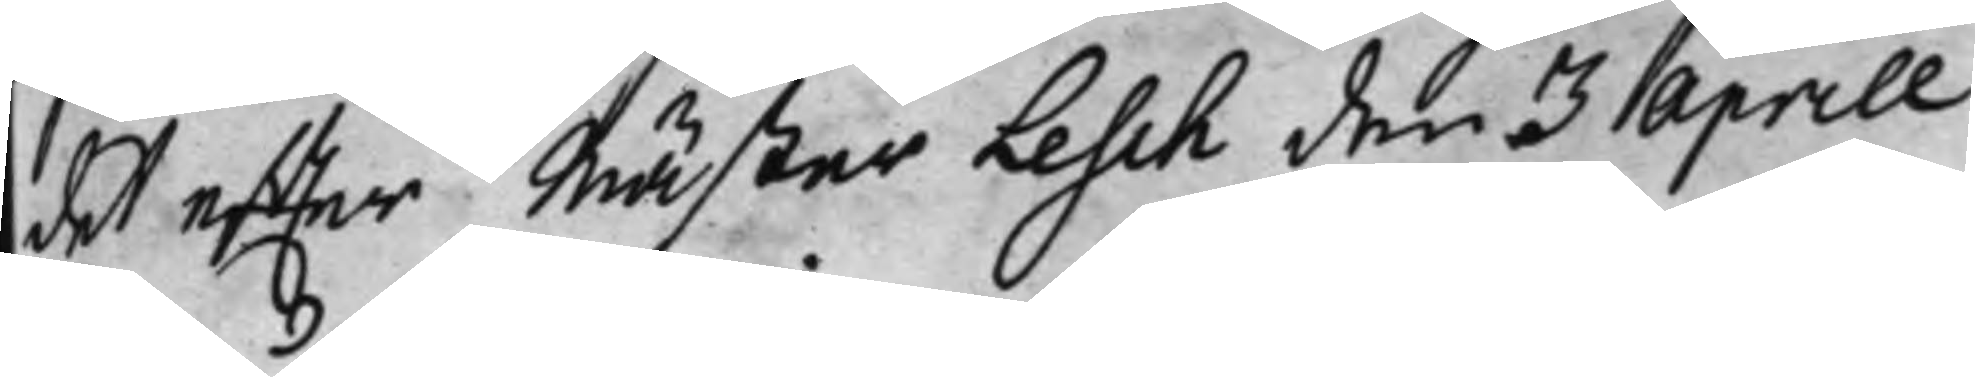det effter Mäster Lesch den 3 Aprill
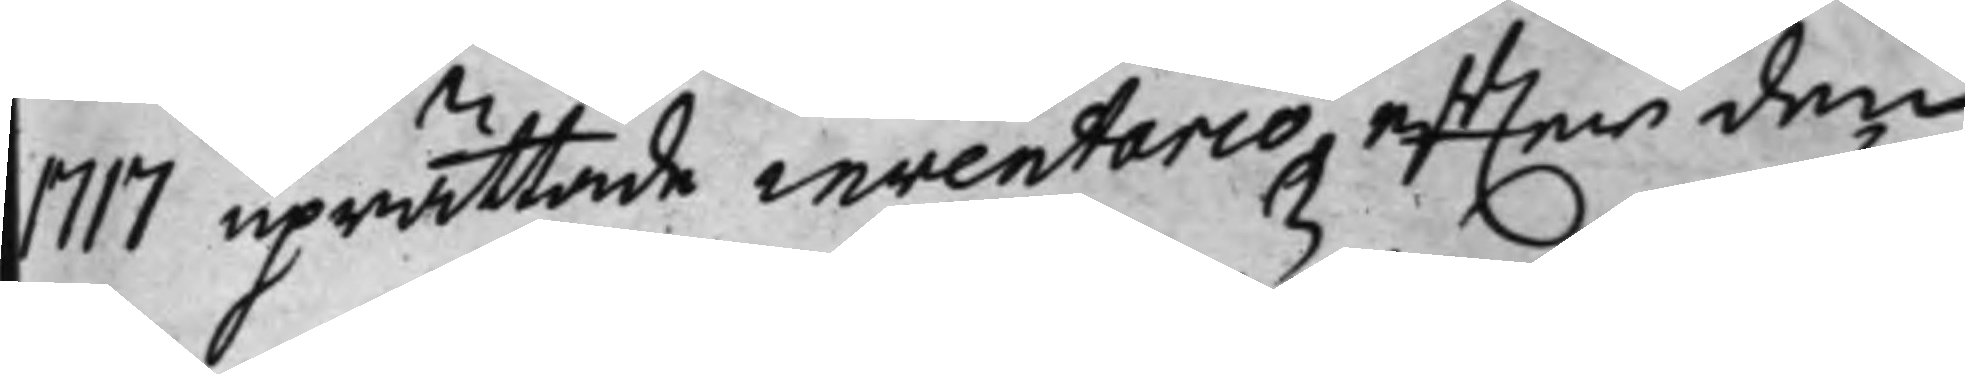1717 uprättade inventario, effter den
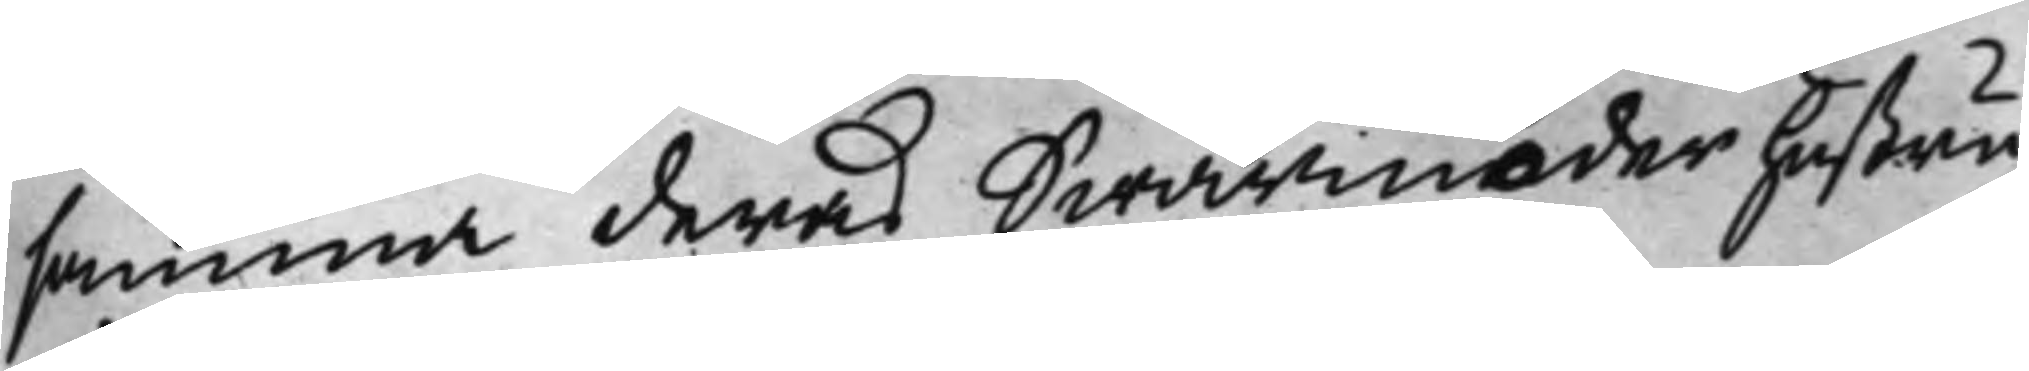samma deras Swärmoder hustru
